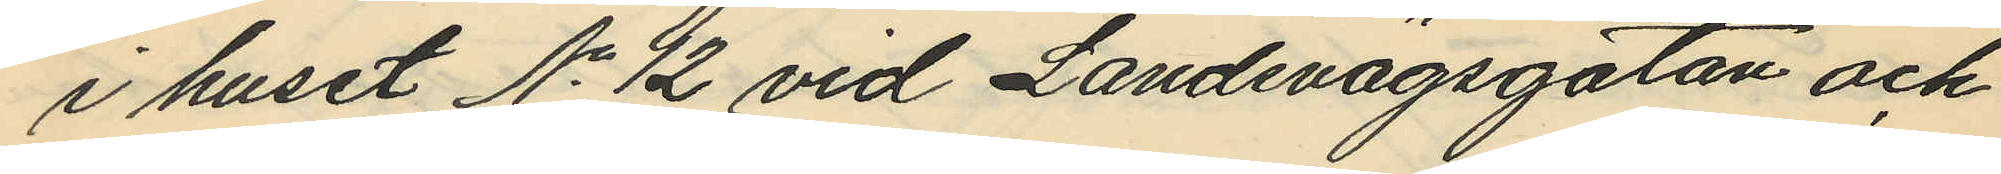i huset No 12 vid Landsvägsgatan och
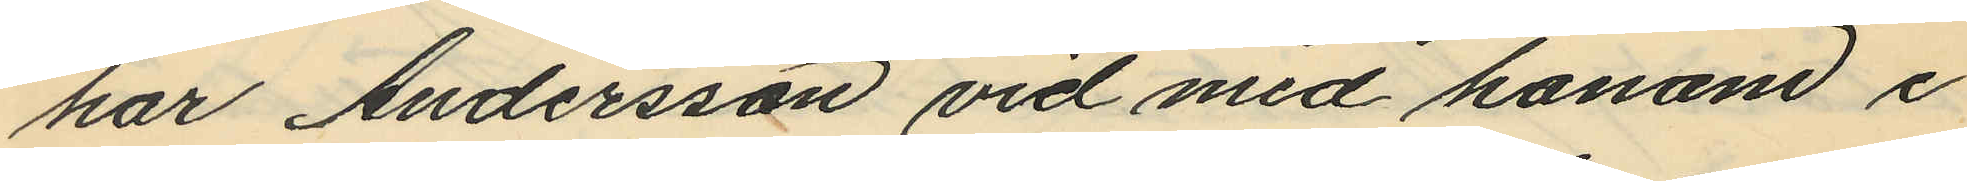har Andersson vid med honom i
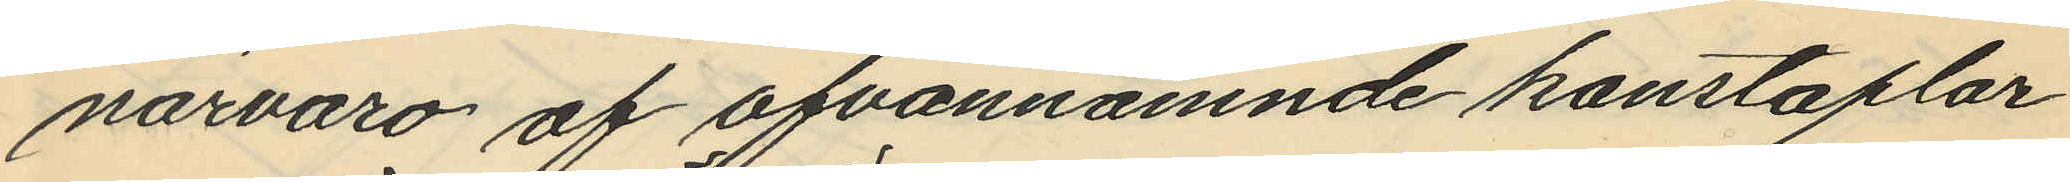närvaro af ofvannämnde konstaplar
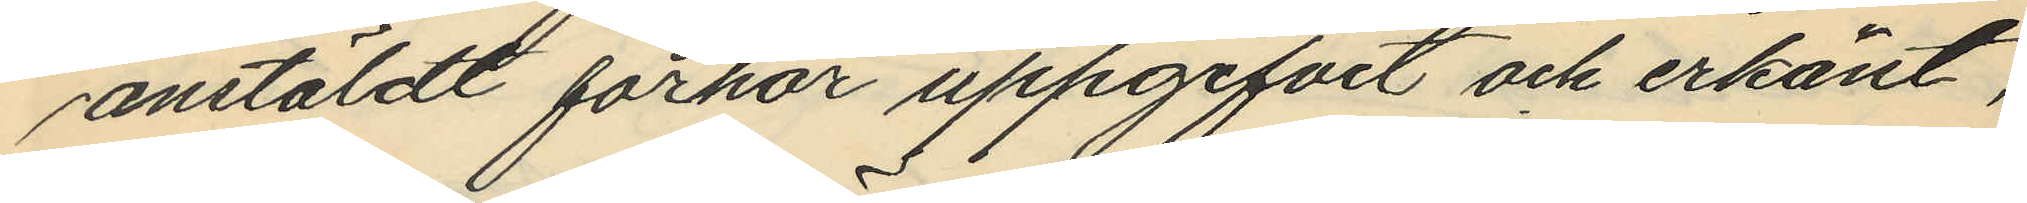anstäldt förhör uppgifvit och erkänt,
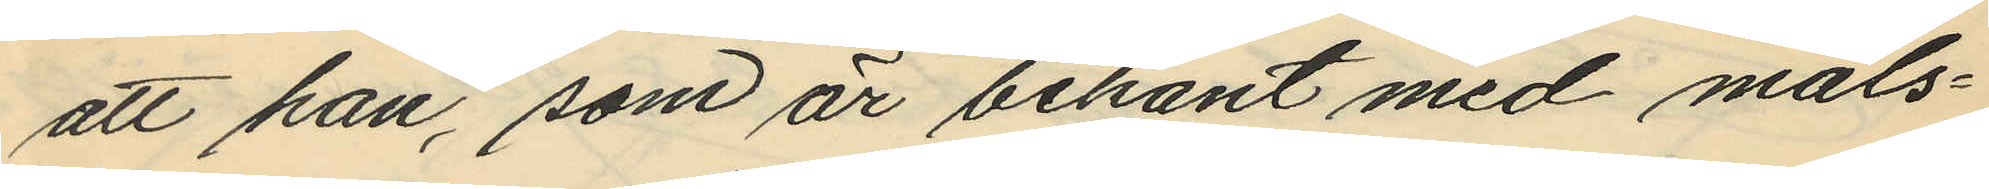att han, som är bekant med måls¬
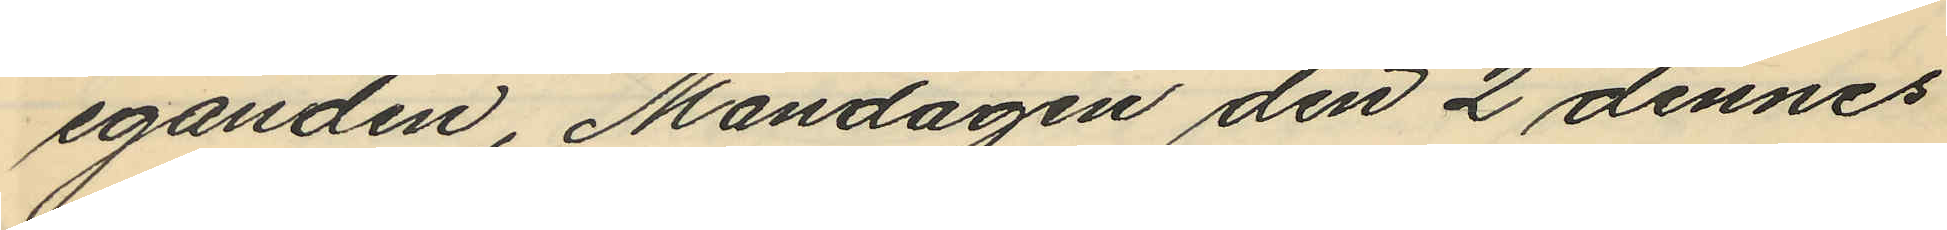eganden, Måndagen den 2 dennes
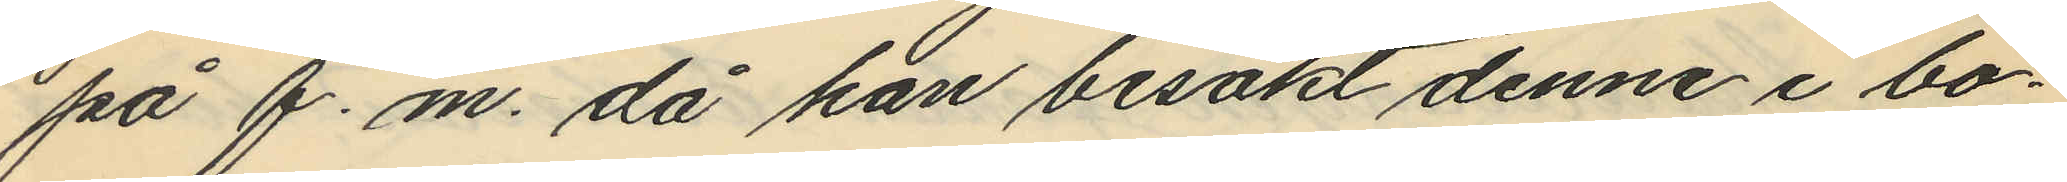på f.m. då han besökt denne i bo¬
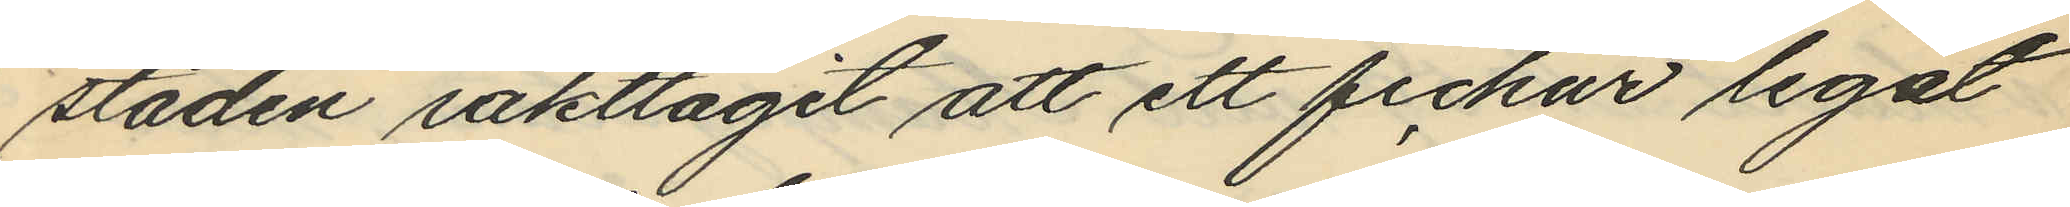staden iakttagit att ett fickur legat
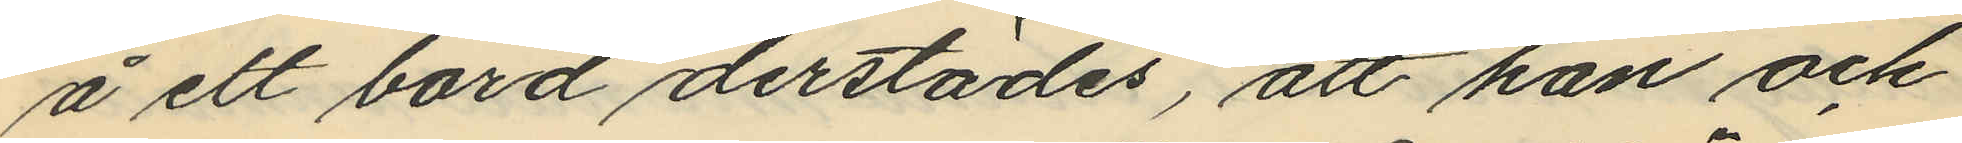å ett bord derstädes, att han och
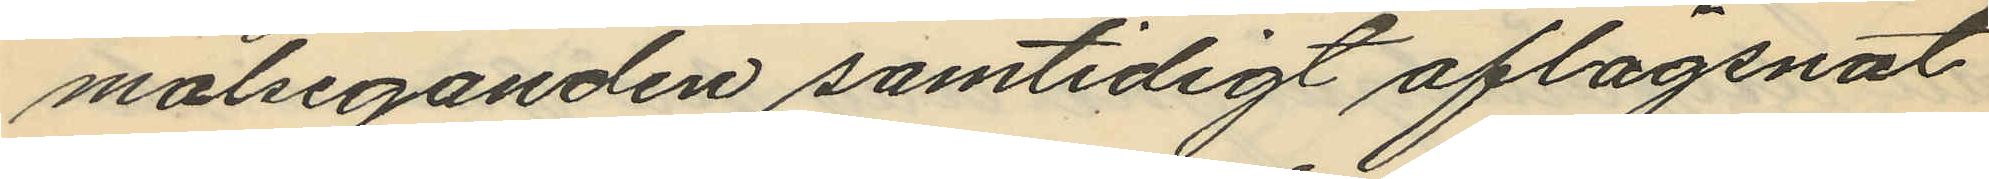målseganden samtidigt aflägsnat
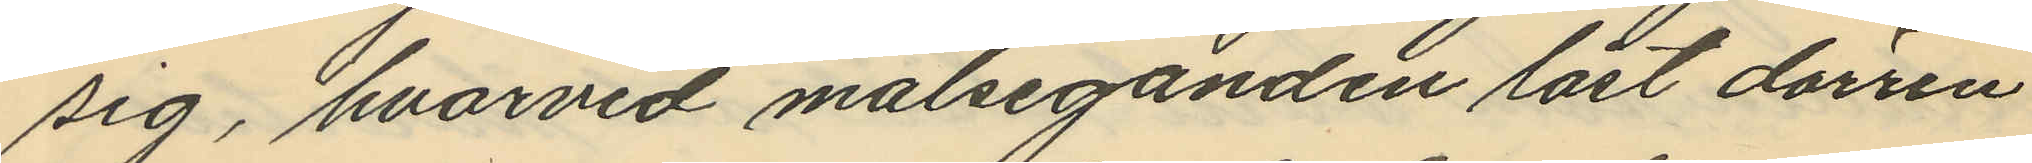sig, hvarvid målseganden låst dörren
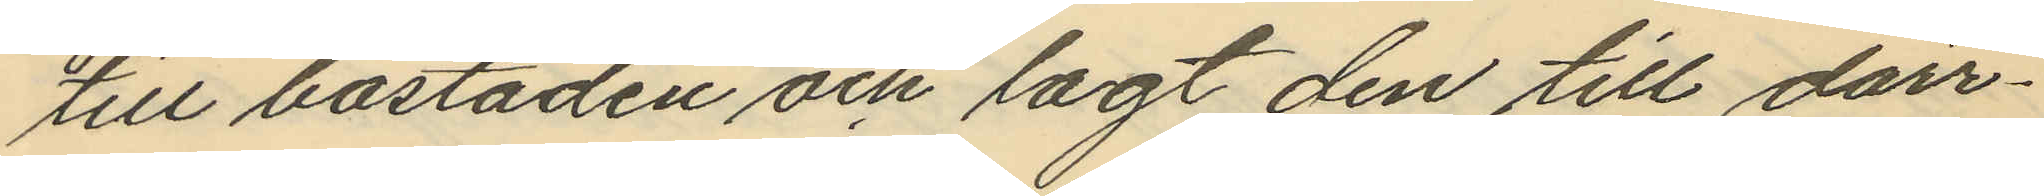till bostaden och lagt den till dörr¬
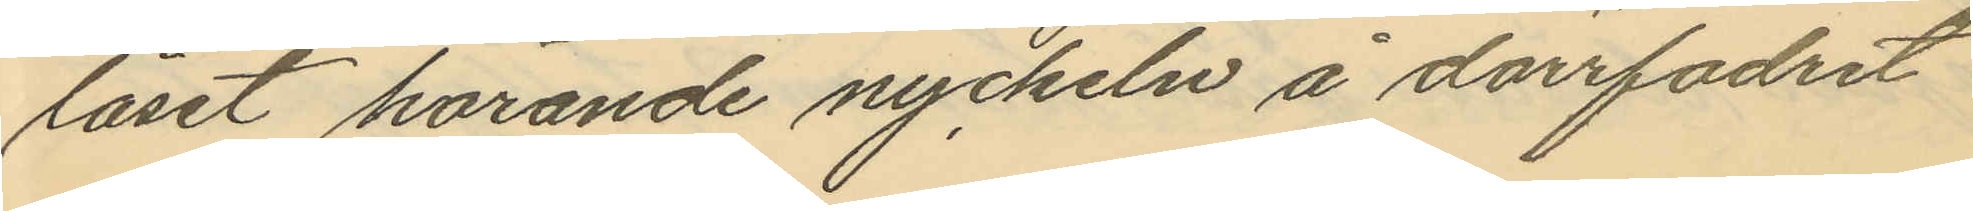låset hörande nyckeln å dörrfodret
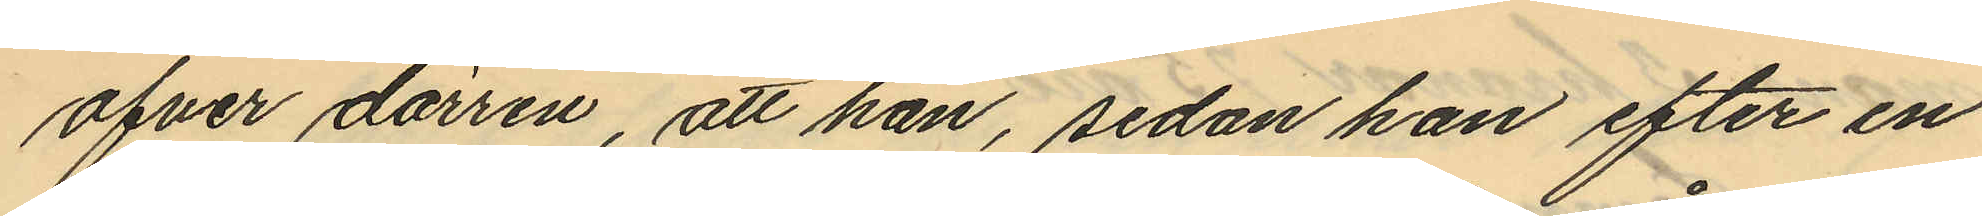ofver dörren, att han, sedan han efter en
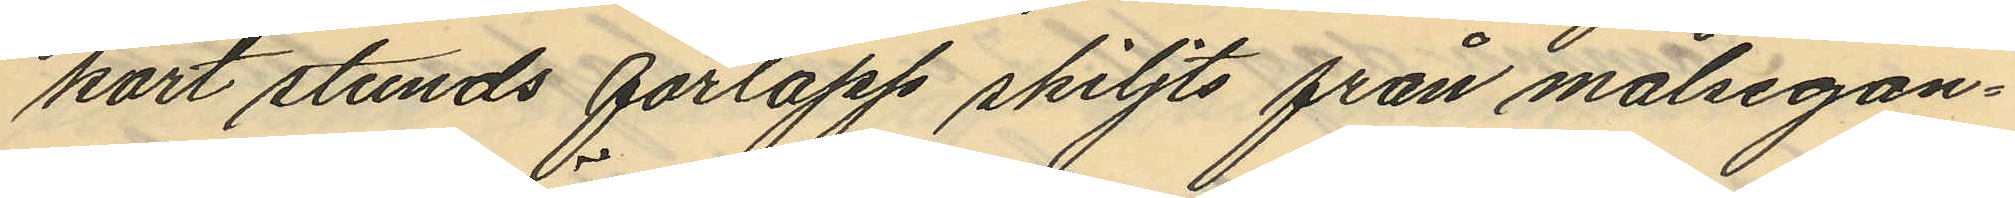kort stunds förlopp skiljts från målsegan¬
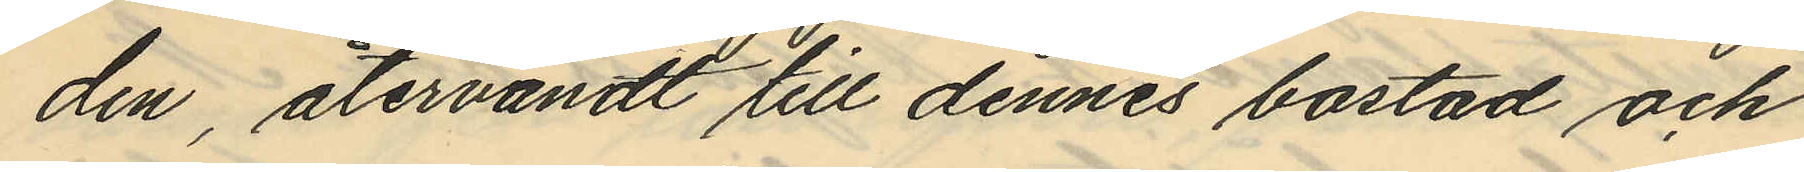den, återvändt till dennes bostad och
